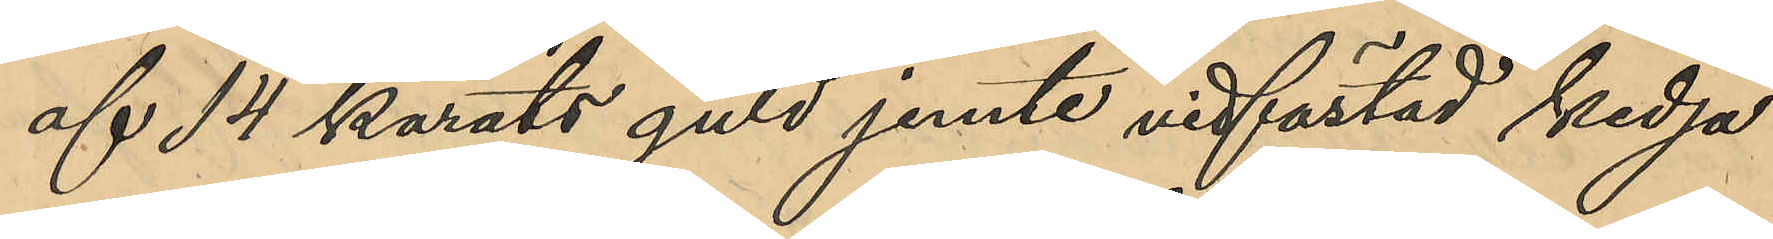af 14 karats guld jemte vidfästad kedja
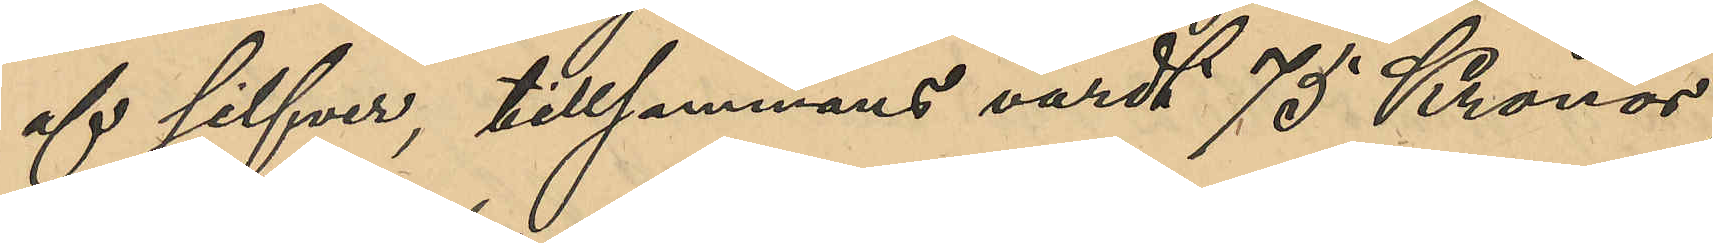af silfver, tillsammans värdt 75 Kronor;
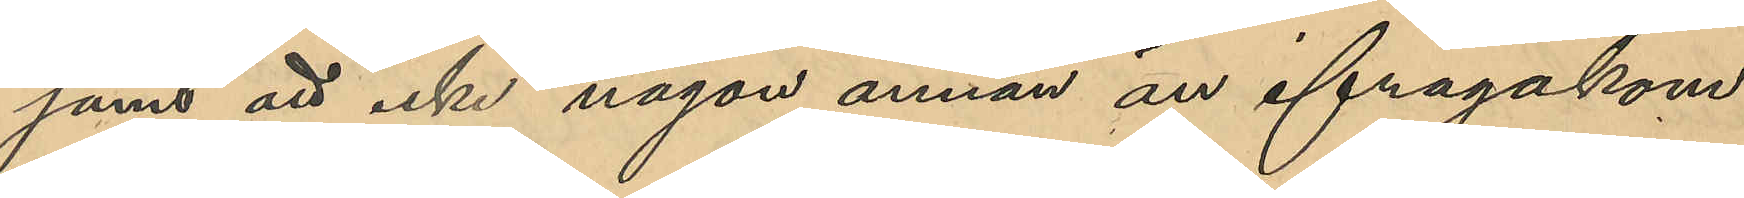samt att icke någon annan än ifrågakom¬
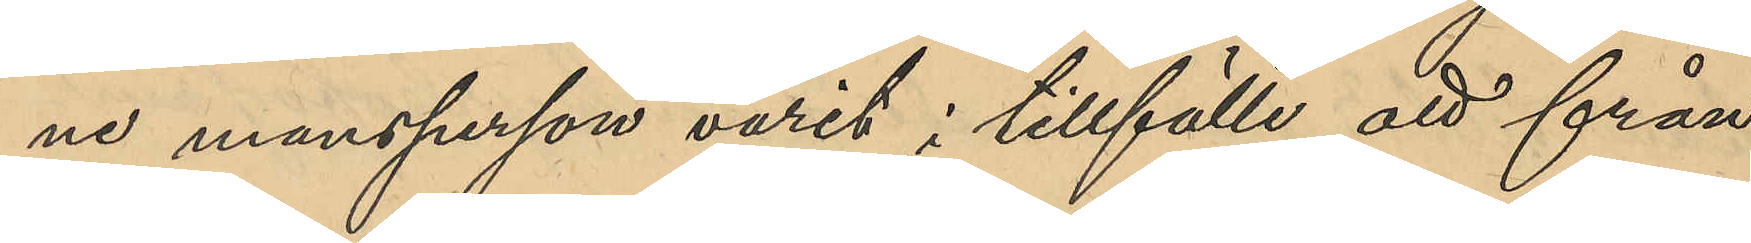ne mansperson varit i tillfälle att från
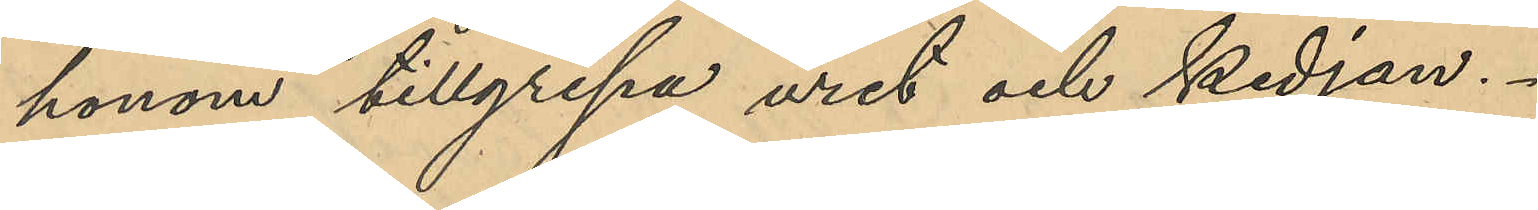honom tillgripa uret och kedjan
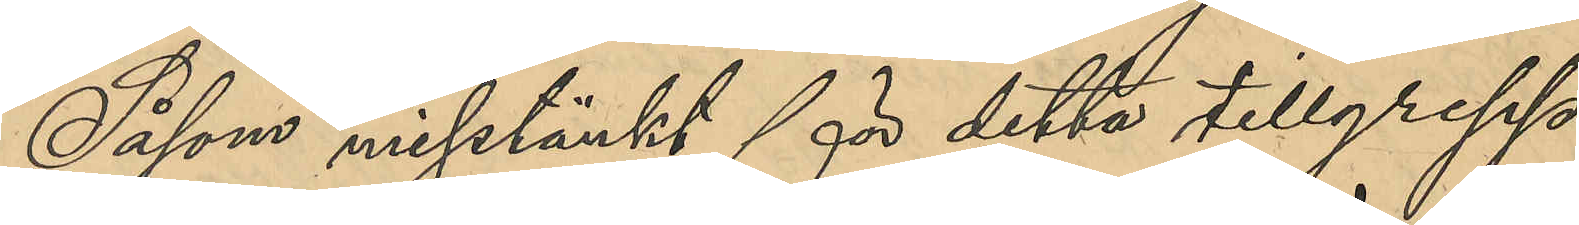Såsom misstänkt för detta tillgrepp
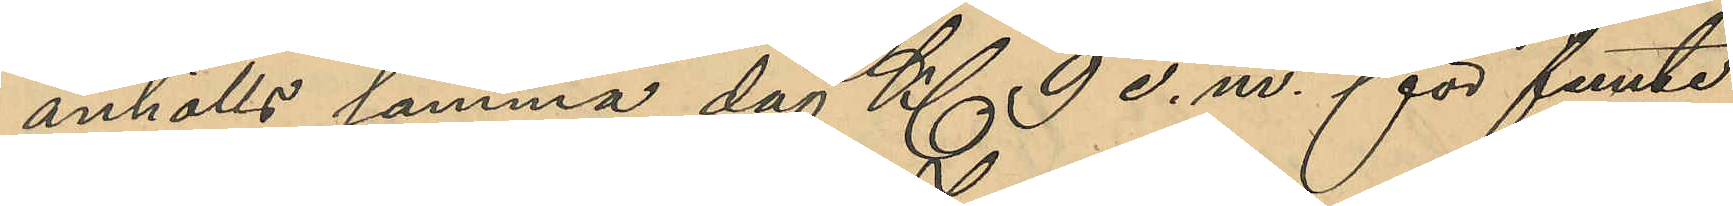anhölls samma dag Kl 9 e.m. för femte
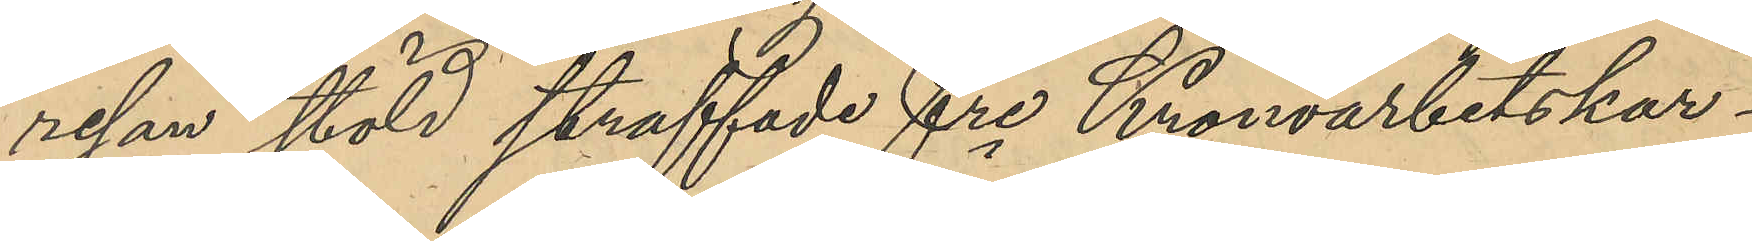resan stöld straffade fre Kronoarbetskar¬
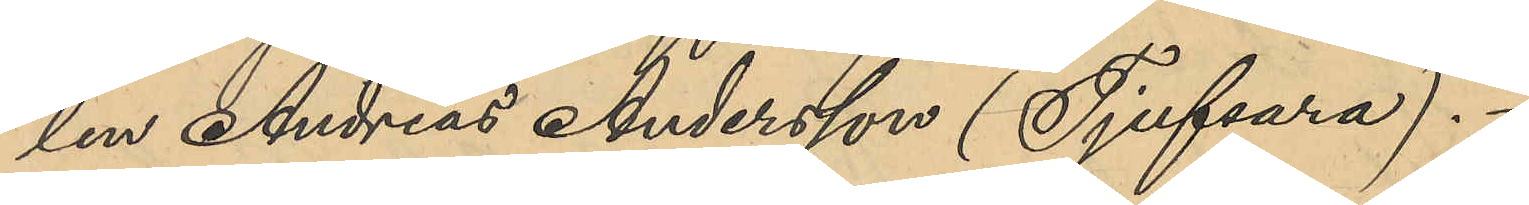len Andreas Andersson (Tjufsara).
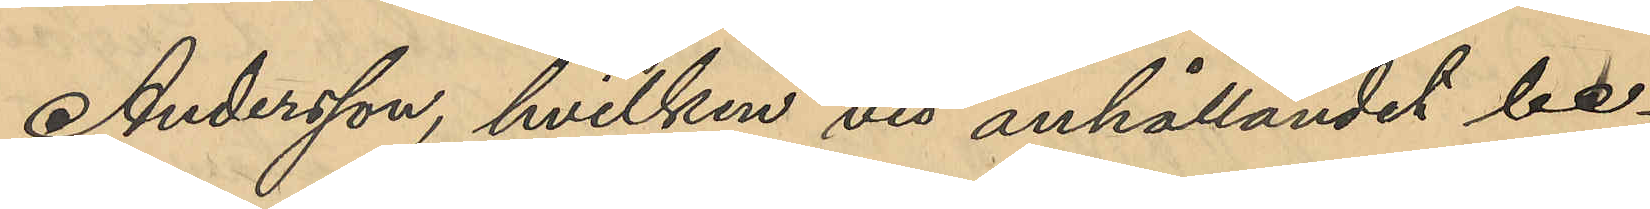Andersson, hvilken vid anhållandet be¬
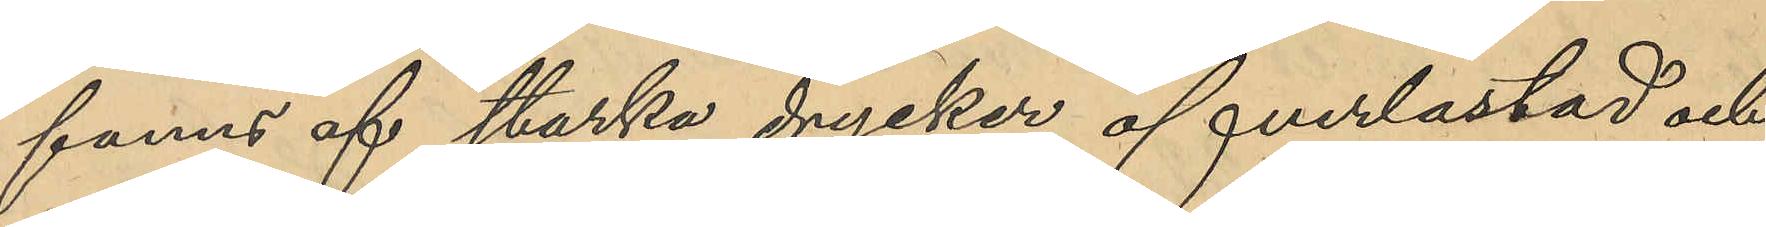fanns af starka drycker öfverlastad och
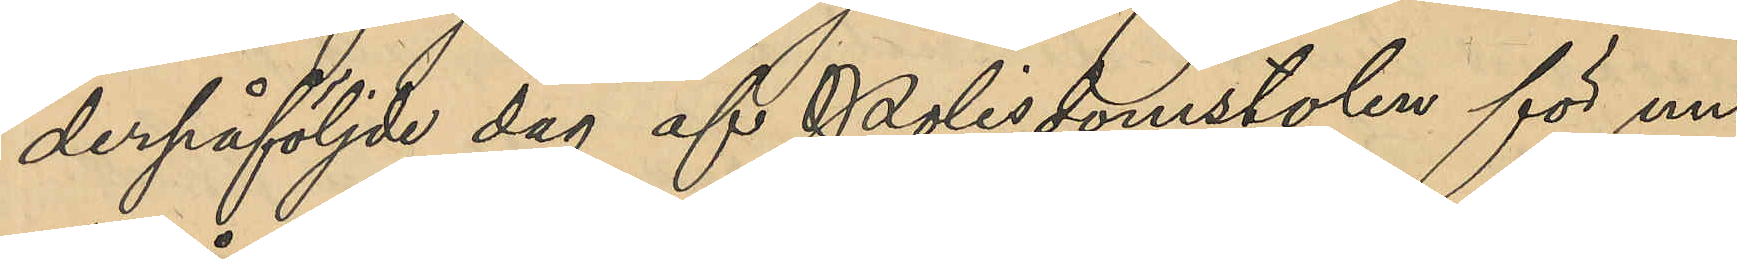derpåföljde dag af Polisdomstolen för un¬
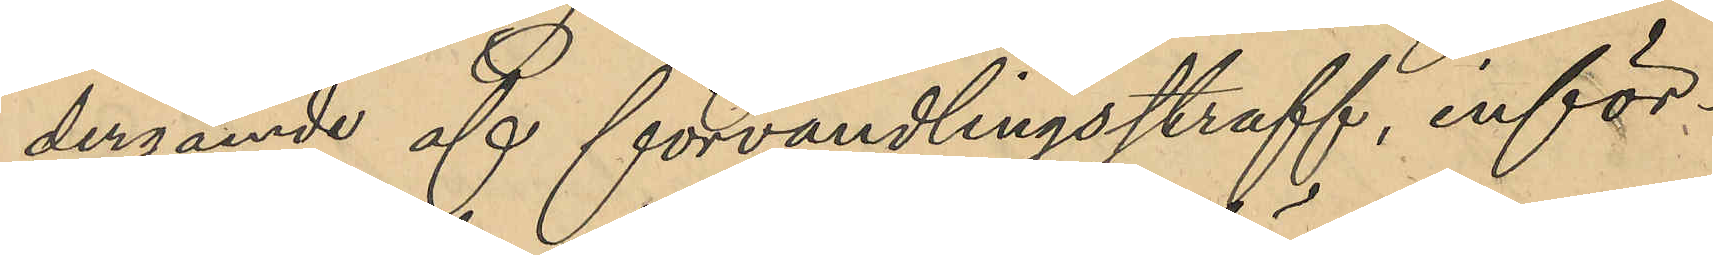dergående af förvandlingsstraff, inför¬
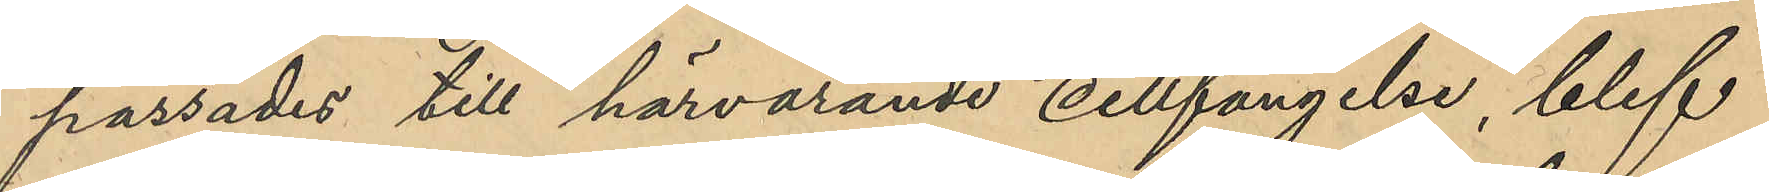passades till härvarande cellfängelse, blef
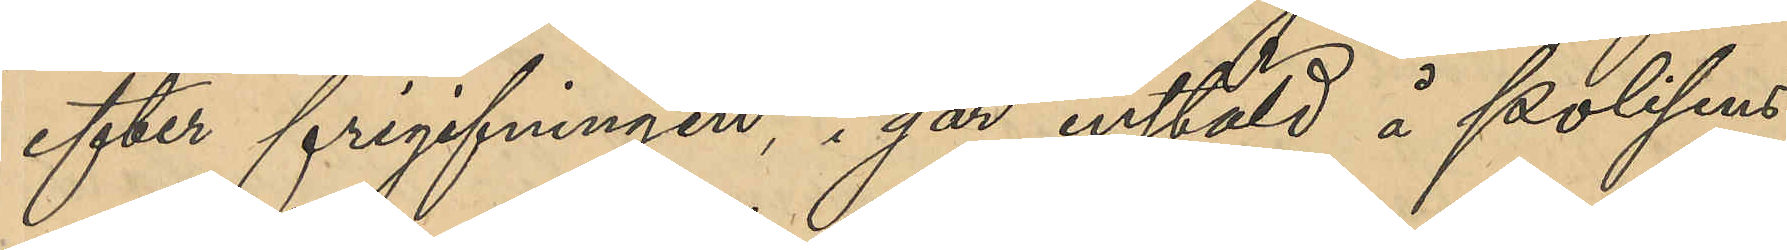efter frigifningen, i går inställd å polisens
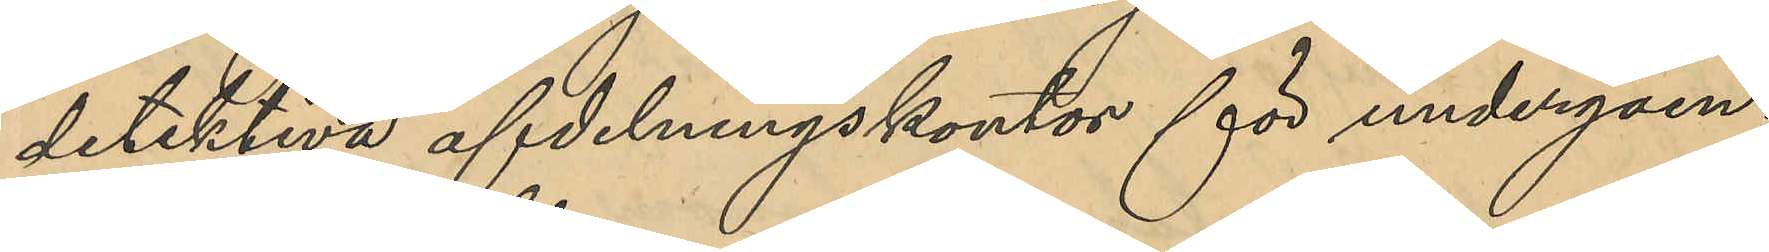detektiva afdelningskontor för undergåen¬
